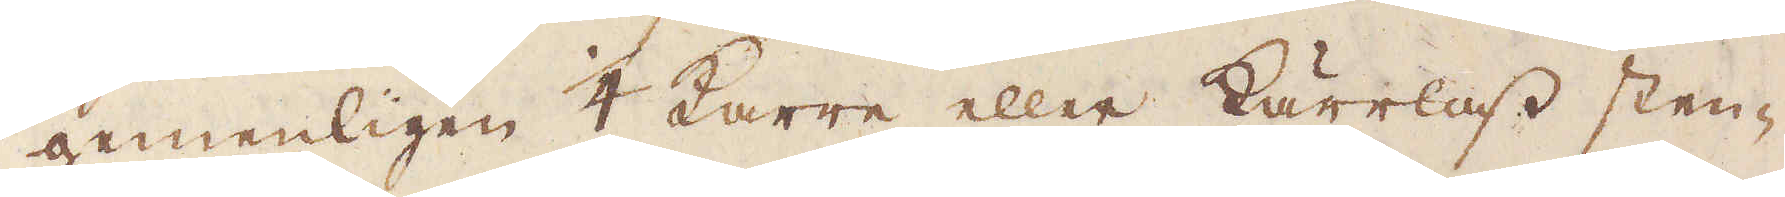gemenligen 1/4 Karre eller kärrlass sten-
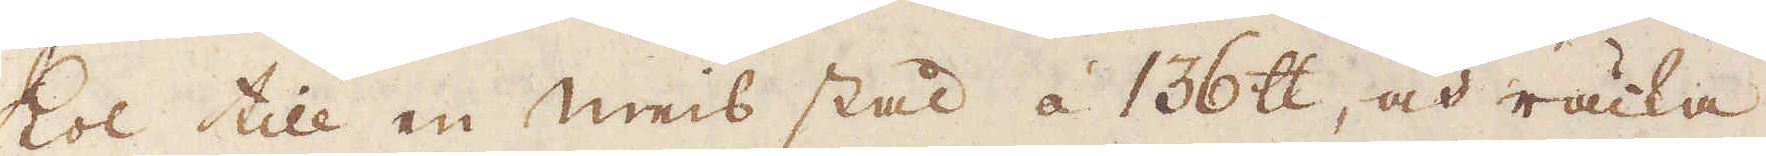kol till en Meis stål á 136 skålpund, och räcka
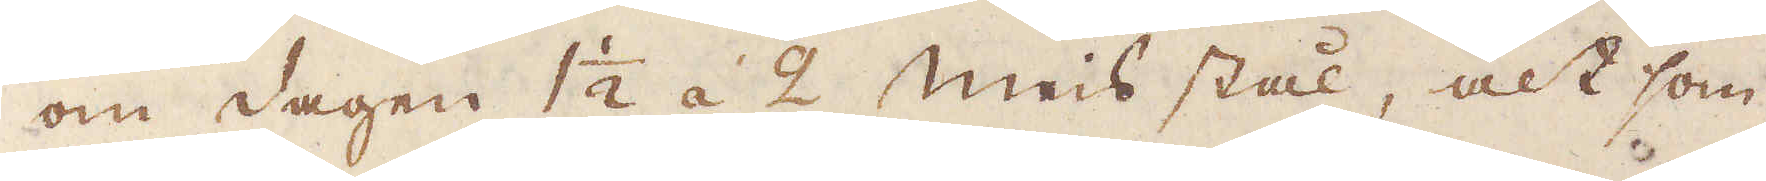om dagen 1 1/2 á 2 Meis stål, alt som
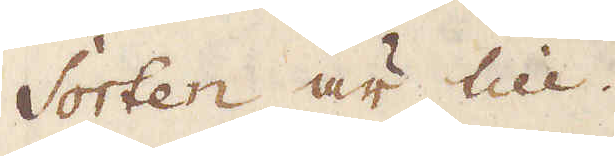Sorten är till.
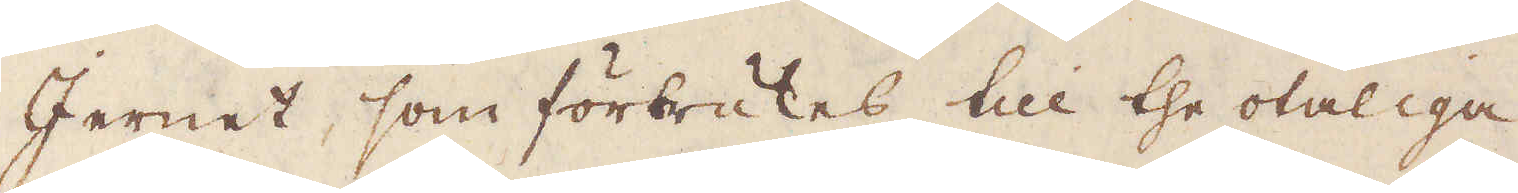Jernet, som förbrukes till the otaliga
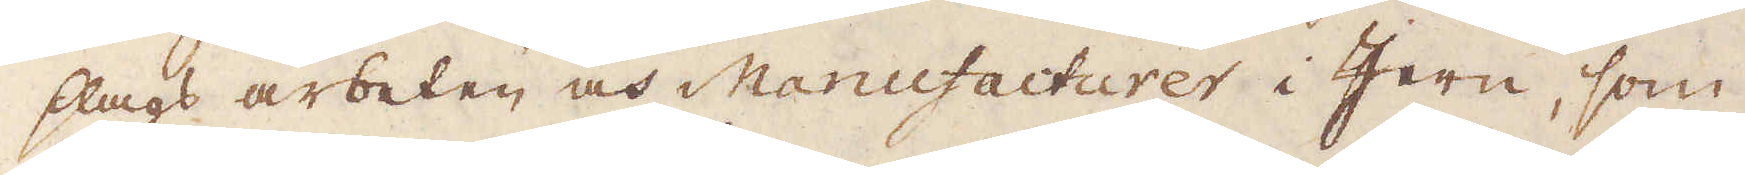slags arbeten och Manufacturer i Jern, som
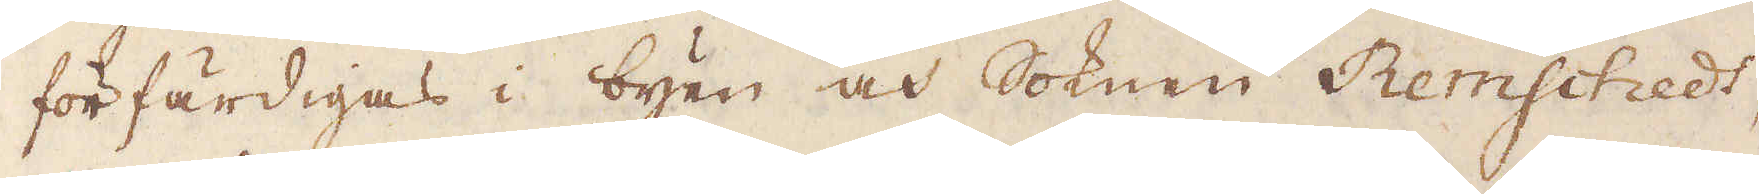förfärdigas i byen och Soknen Remschedt,
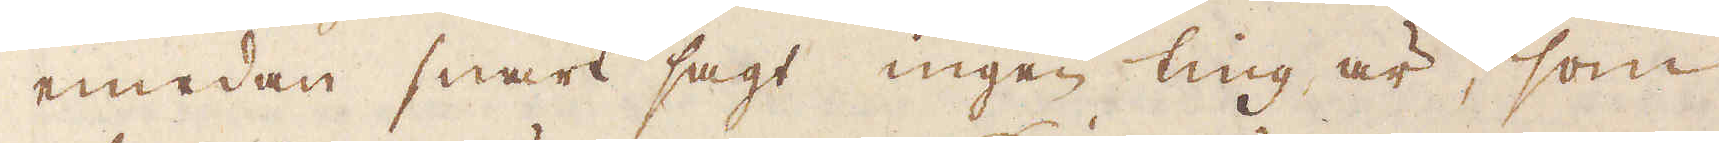emedan snart sagt ingen ting är, som
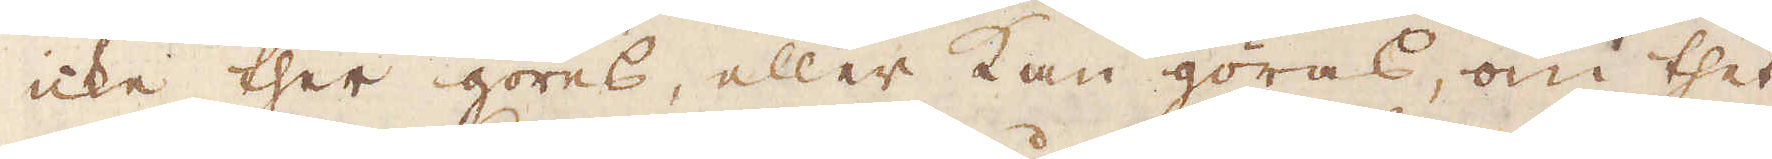icke ther göres, eller kan göras, om thet
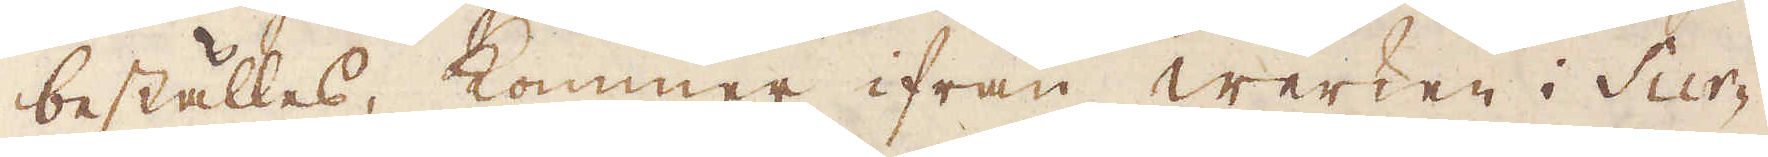beställes, kommer ifrån werken i Sur-
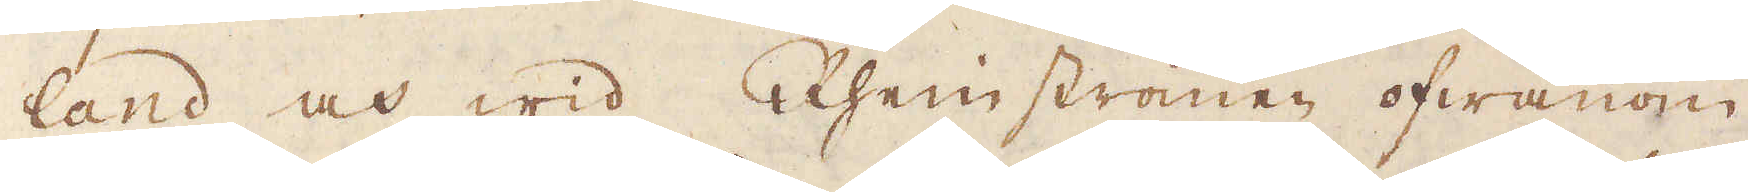land och wid Rhenströmen ofwanom
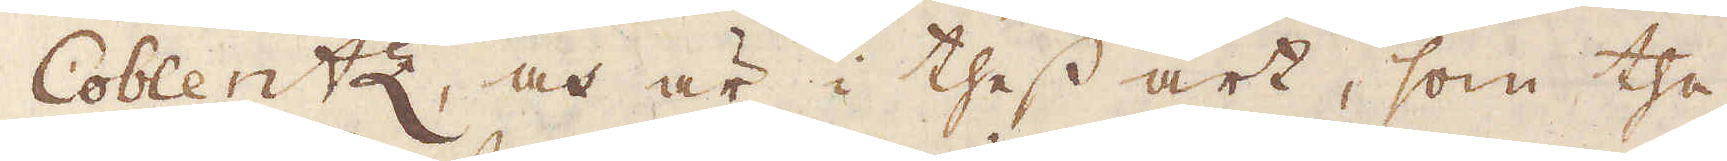Coblentz, och är i thess art, som the
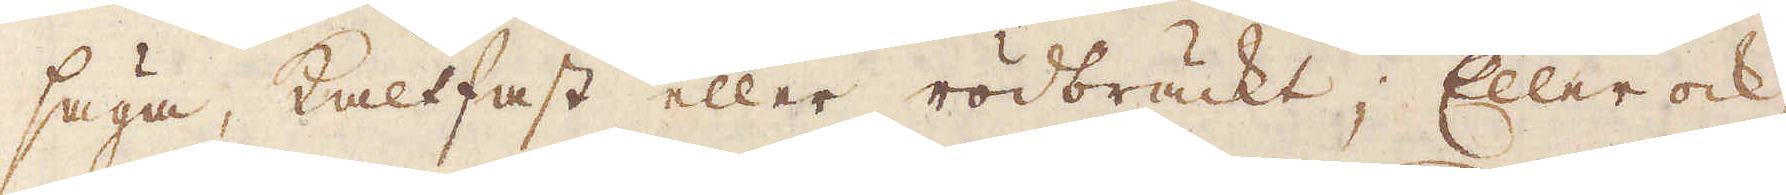säga, kaltfast eller rödbräckt; Eller ock
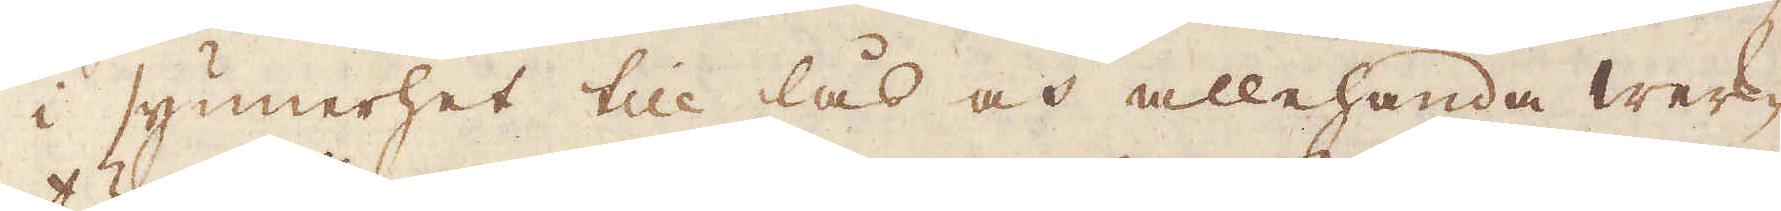i synnerhet till lås och allehanda werk-
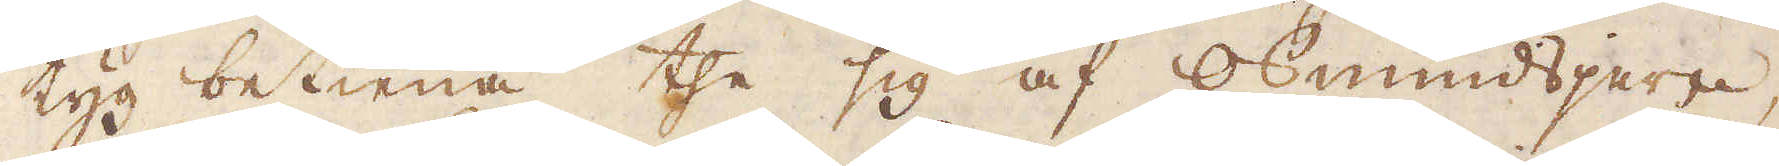tyg betiena the sig af osmundsjern,
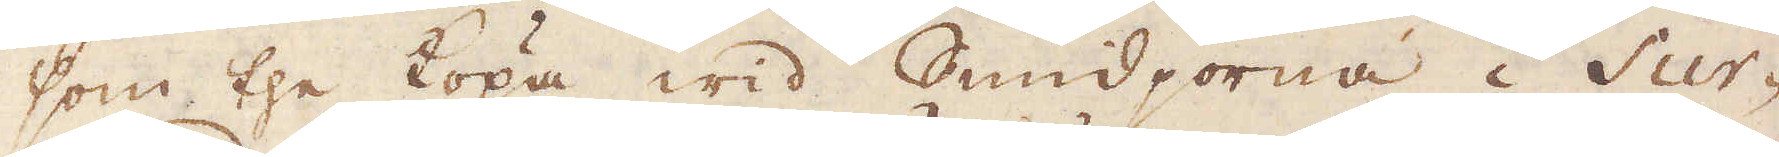som the köpa wid Smidjorna i Sur-
